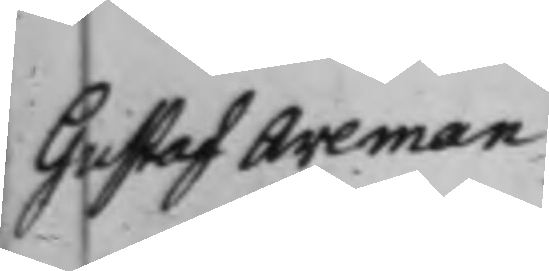Gustaf Areman
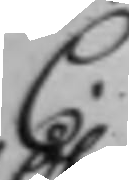C.
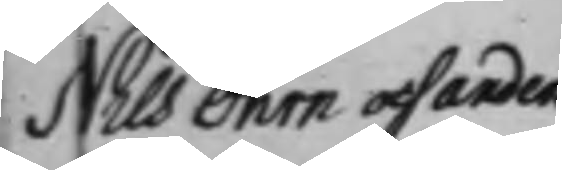Nils Öhrn och Anders
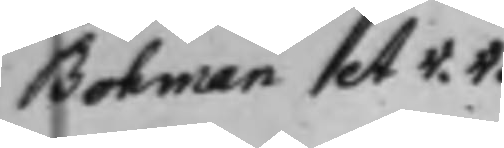Bohman et v. v.
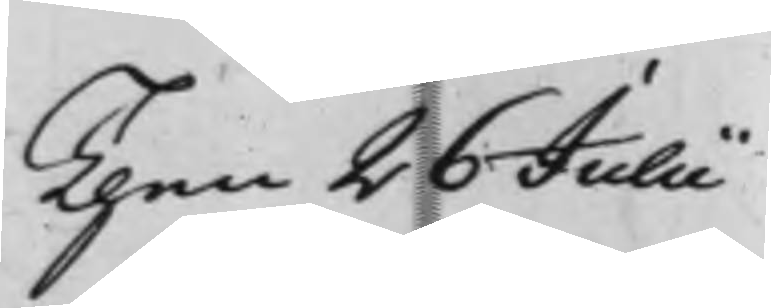Then 26 Julii
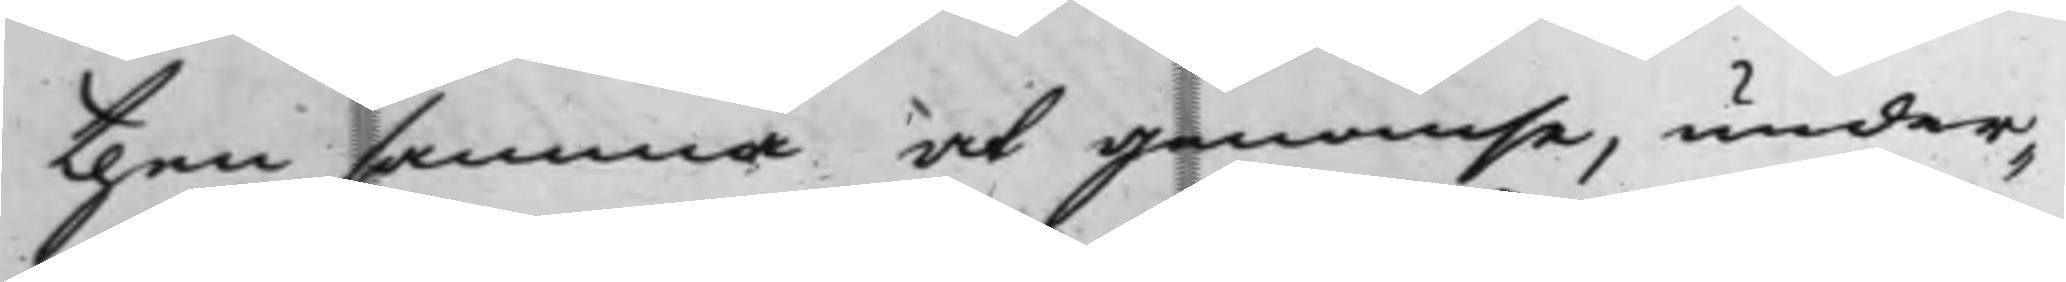thensamma at genomse, under¬
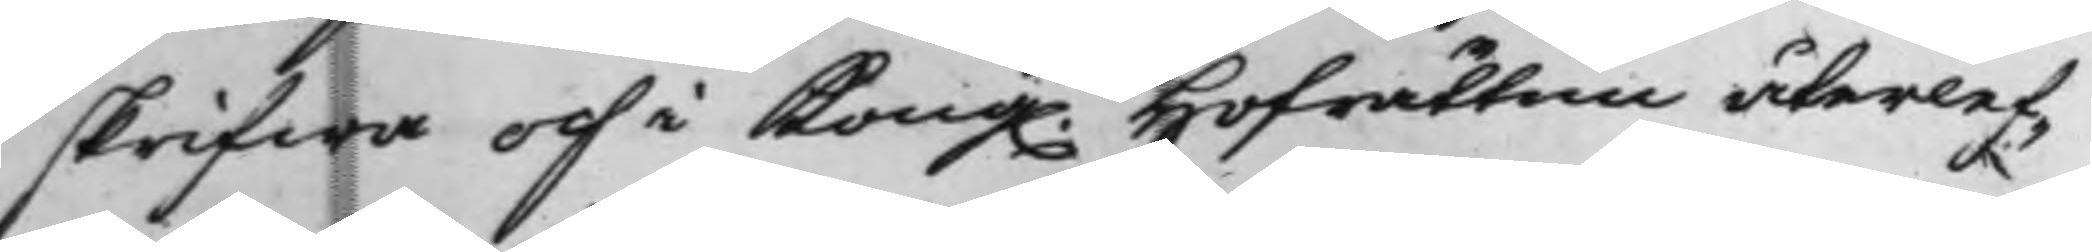skrifwa och i Kong. Hofrätten återlef¬
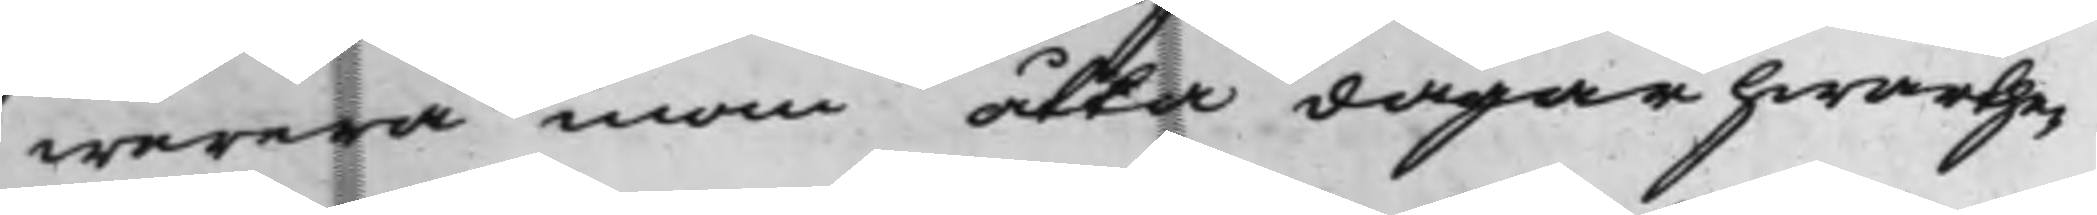werera inom åtta dagar hwarthe¬
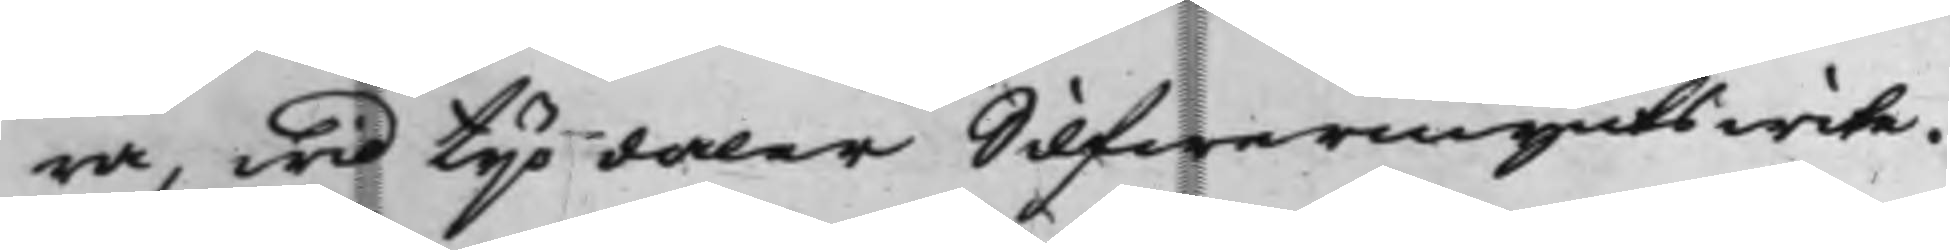ra, wid tijo daler Silfwermynts wite.
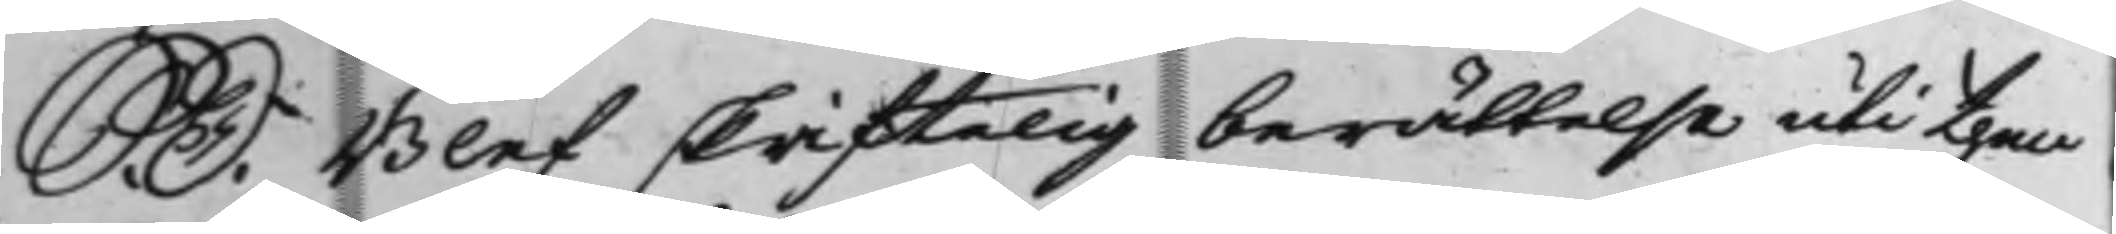S. D. Blef skriftelig berättelse uti then
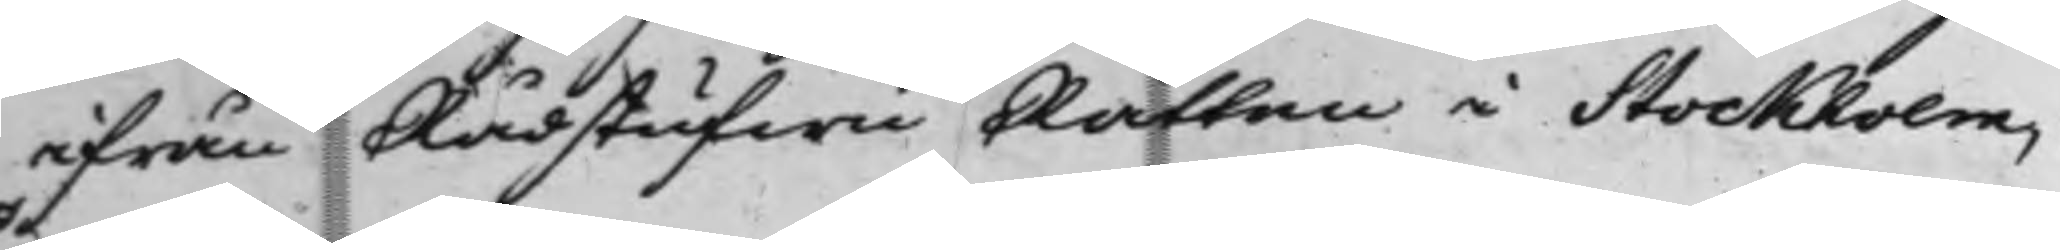ifrån RådstufwuRätten i Stockholm,
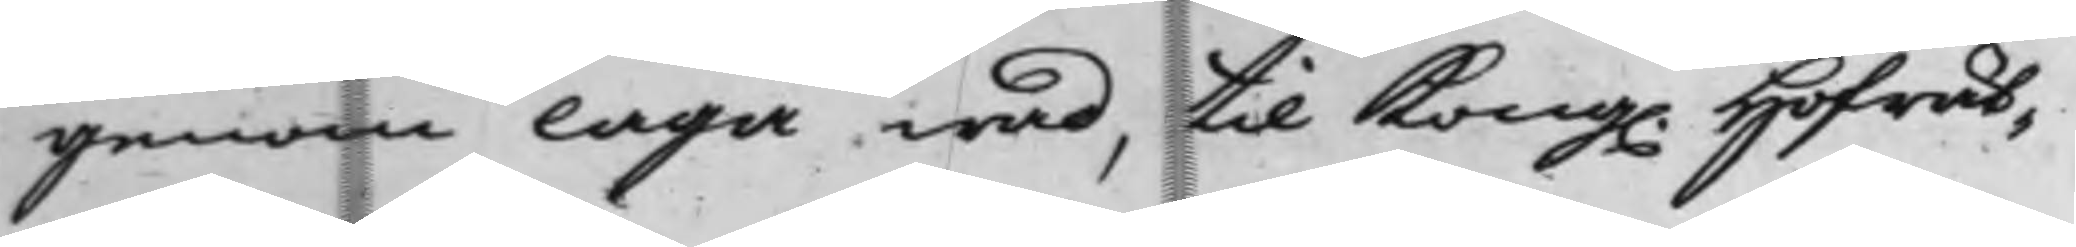genom laga wad, til Kong. Hofrät¬
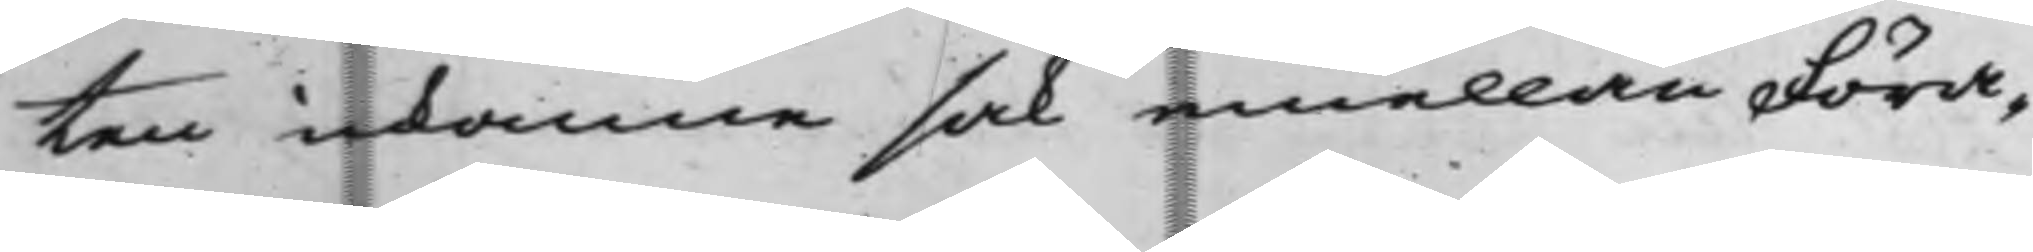ten inkomne sak emellan Föra¬
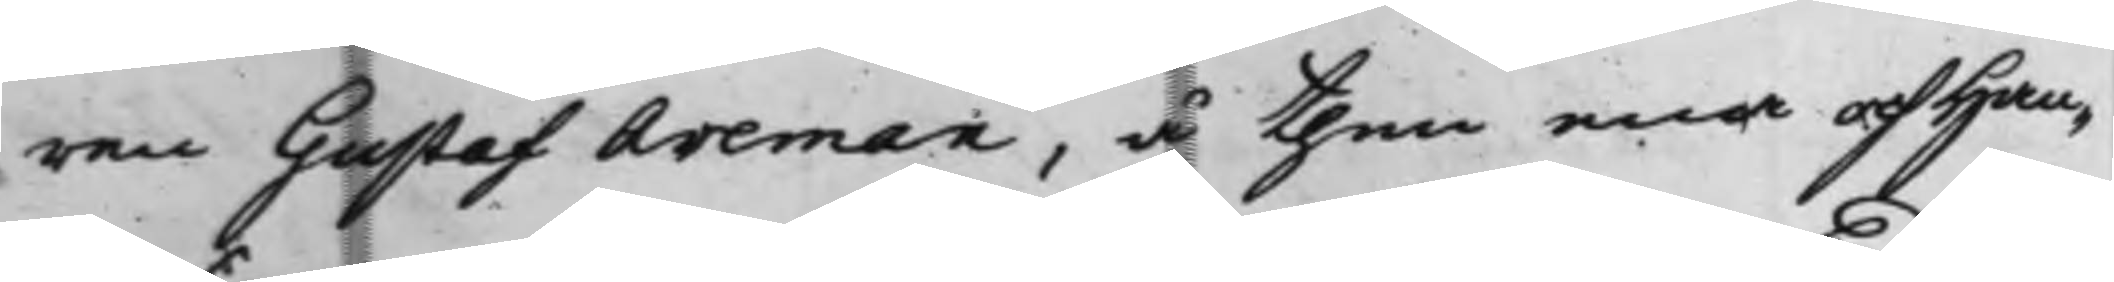ren Gustaf Areman, å then ena och Han¬
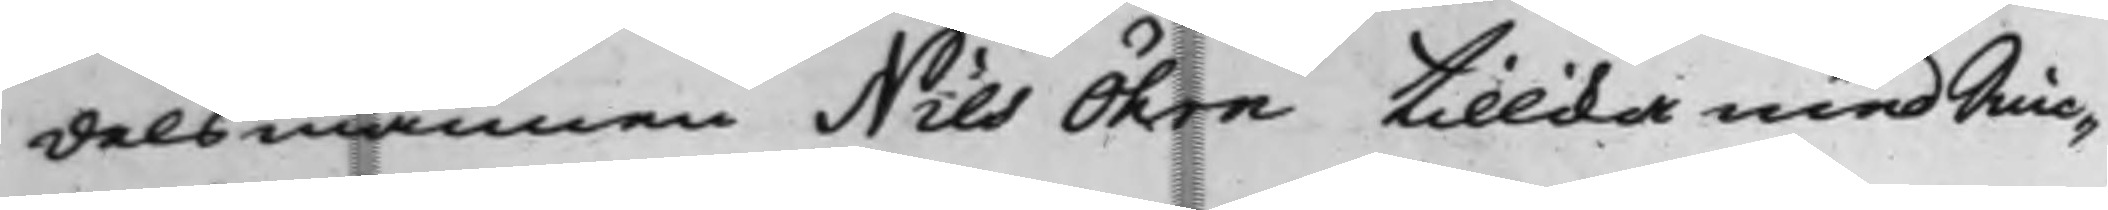delsmannen Nils Öhrn tillika med Snic¬
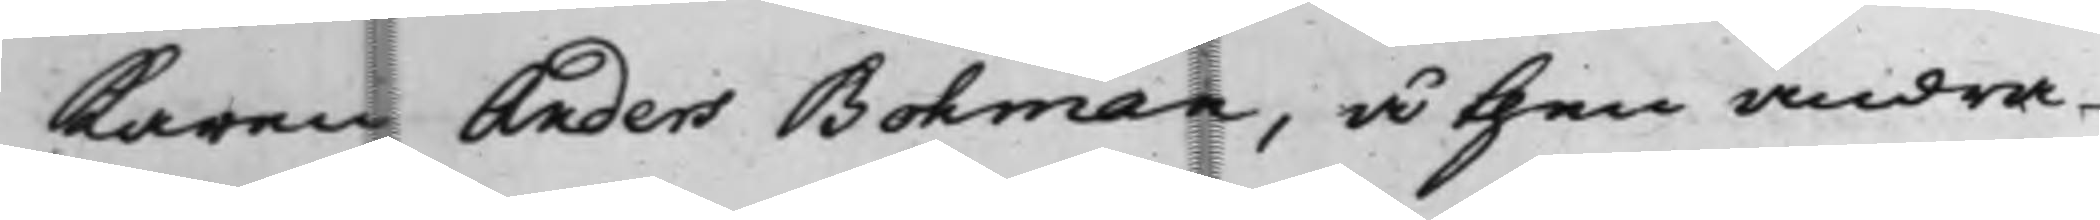karen Anders Bohman, å then andra
